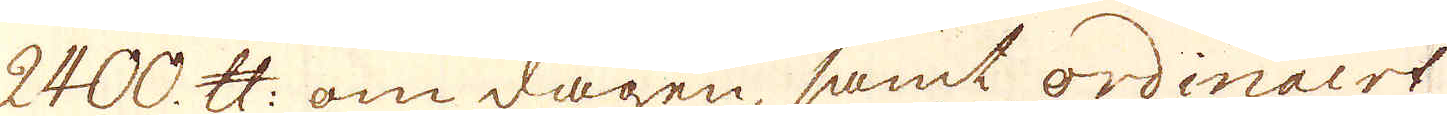2400. skålpund om dagen samt ordinairt
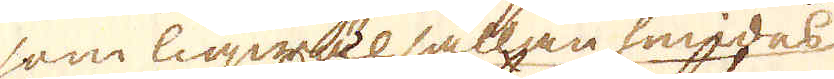som liqwäl sällan smides
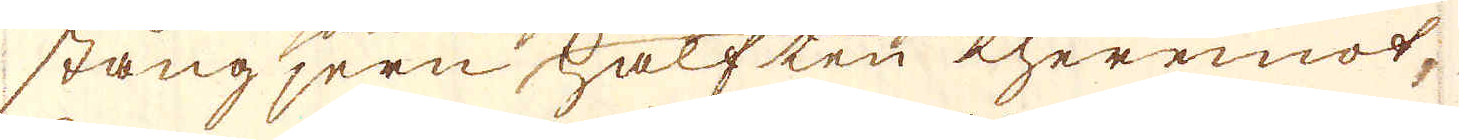stångjern hälften theremot,
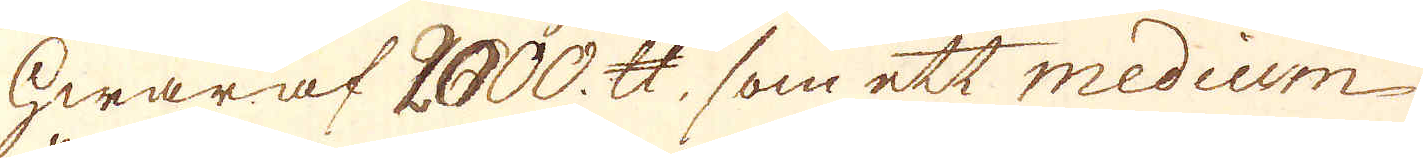hwaraf 2000. skålpund, som ett medium
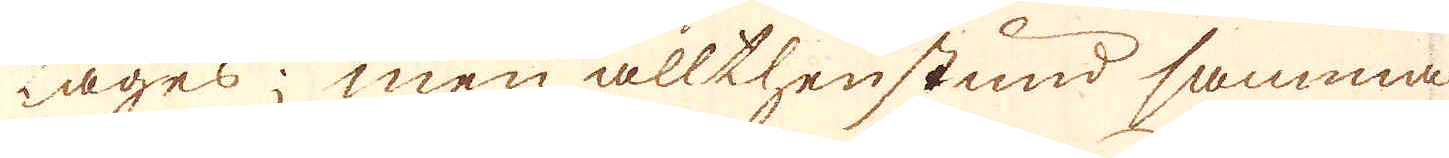Lages; men allthenstund samma
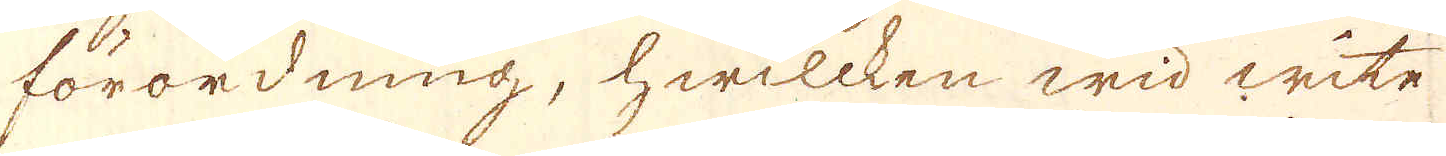förordning, hwilcken wid wite
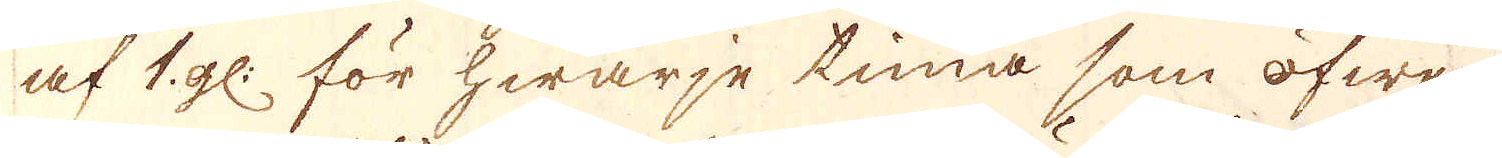af 1 gl: för hwarje tunna, som öfwer-
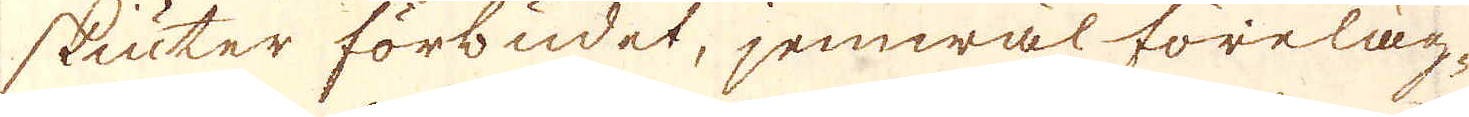skiuter förbudet, jemwäl föreläg-
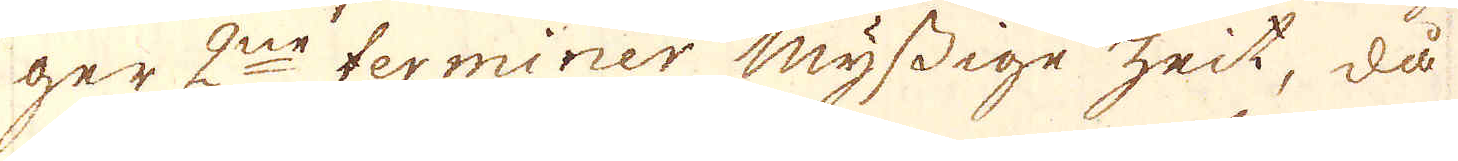ger 2ne terminer myssige zeit, då
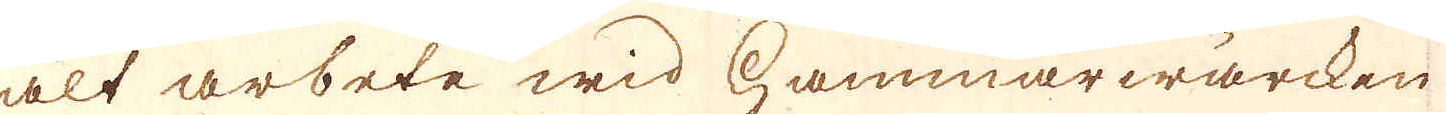alt arbete wid Hammarwärcken
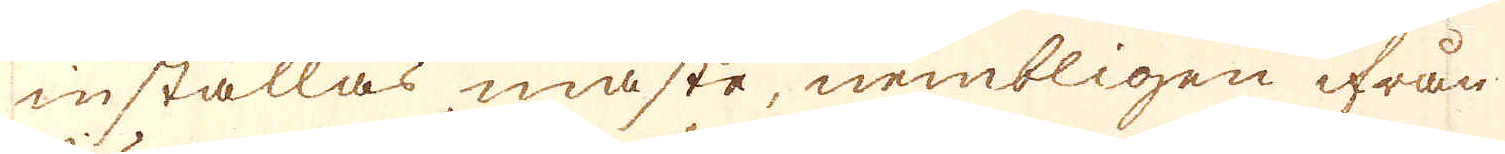inställas måste, nembligen ifrån
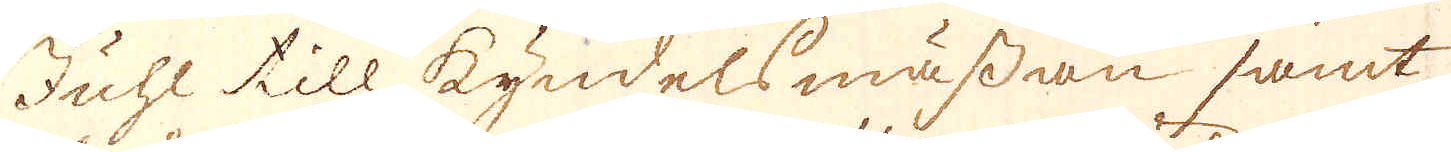Juhl till kyndelsmässan samt
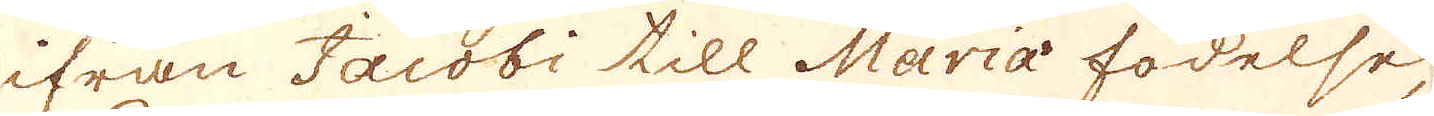ifrån Jacobi till Maria födelse,
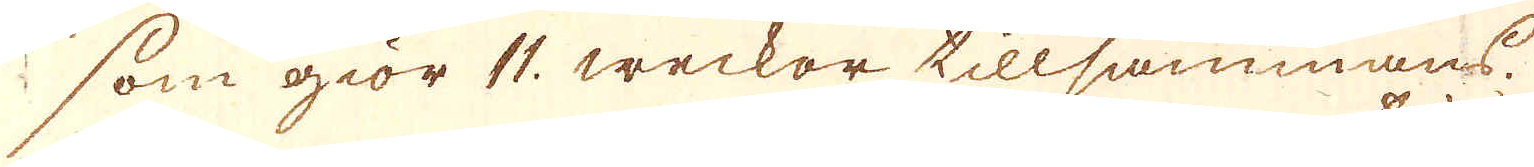som giör 11. weckor tillsammans.
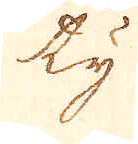ty
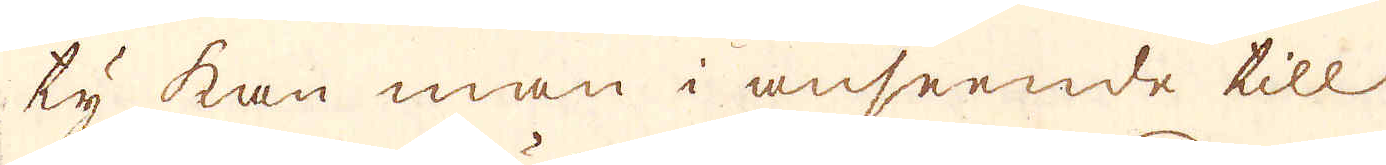ty kan man i anseende till
